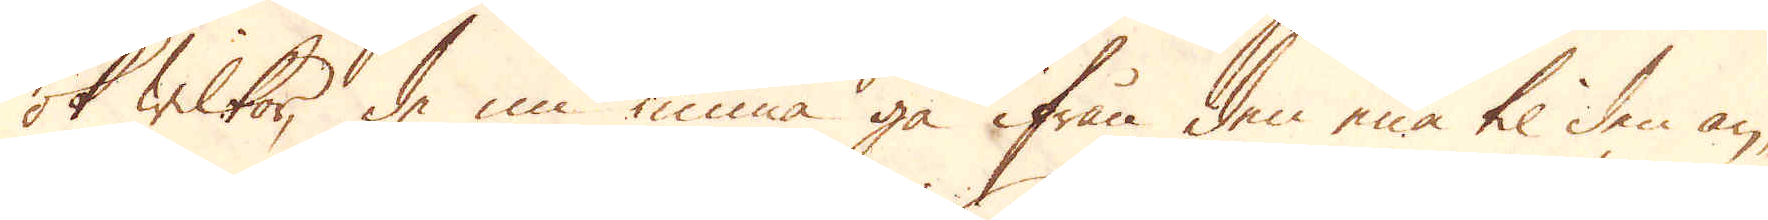ok wilkor, de nu kunna gå ifrån den ena til den an-
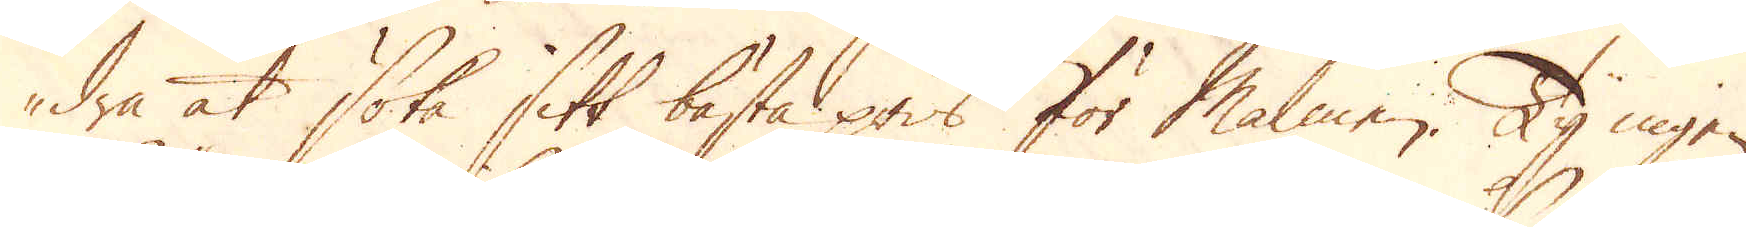dra at söka sitt bästa pris för Malmen. Ty ingen
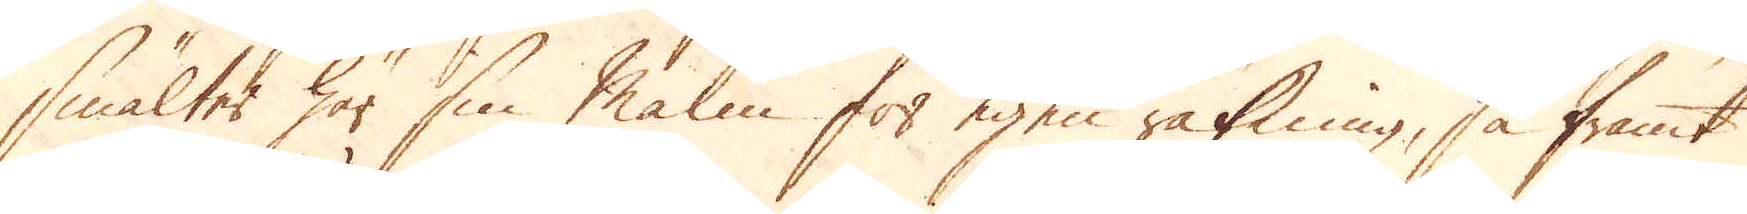smälter här sin Malm för egen räkning, så framt
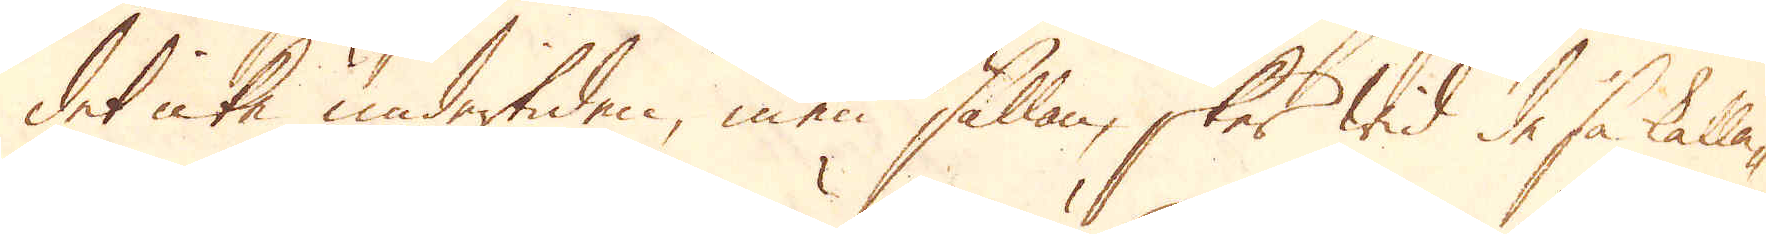det icke undertiden, men sällan, sker wid de så kalla-
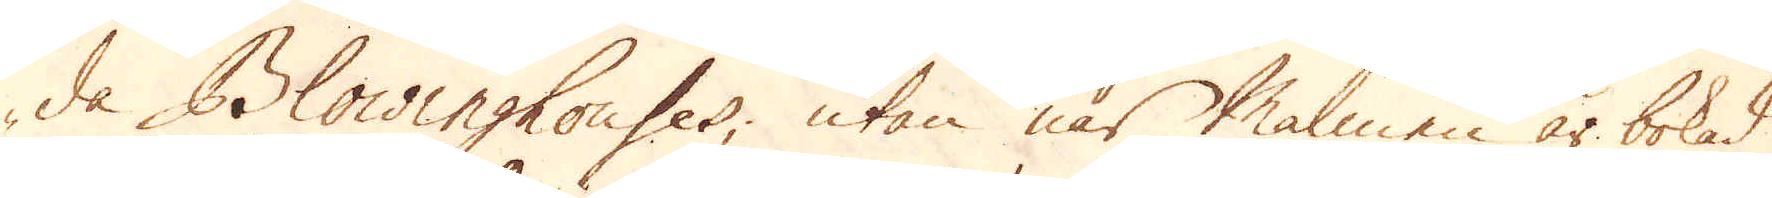de Blowinghouses, utan när Malmen är bokad
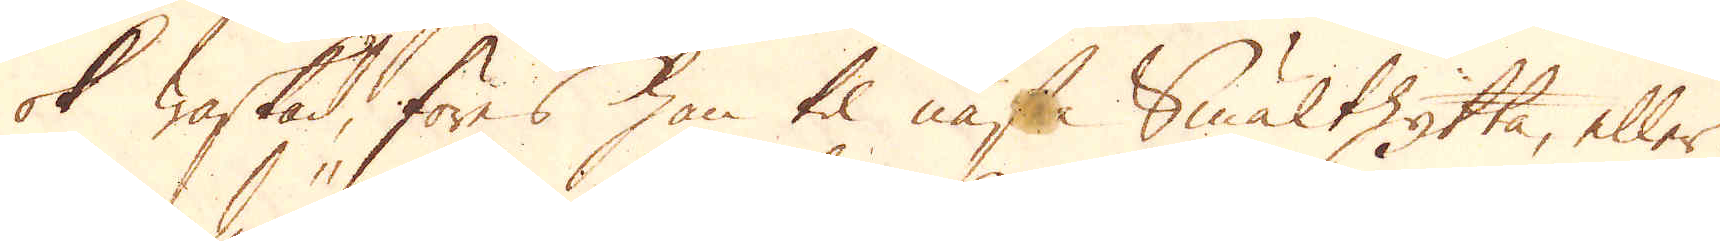ok waskad, föres han til nästa Smälthytta, eller
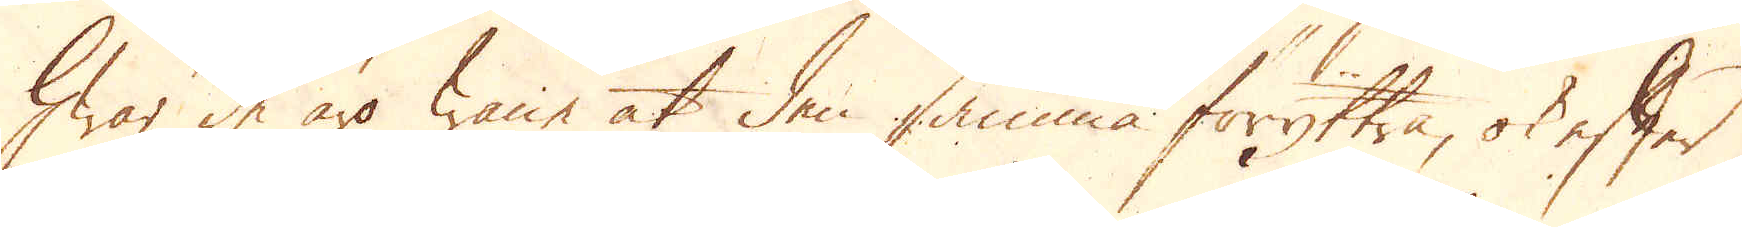hwar de äro wane at den samma föryttra, ok efter
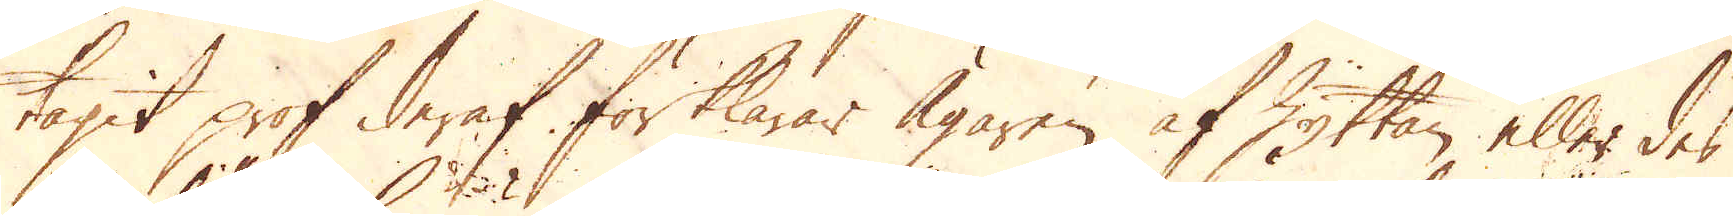tagit prof deraf förklarar Ägaren af Hyttan eller des
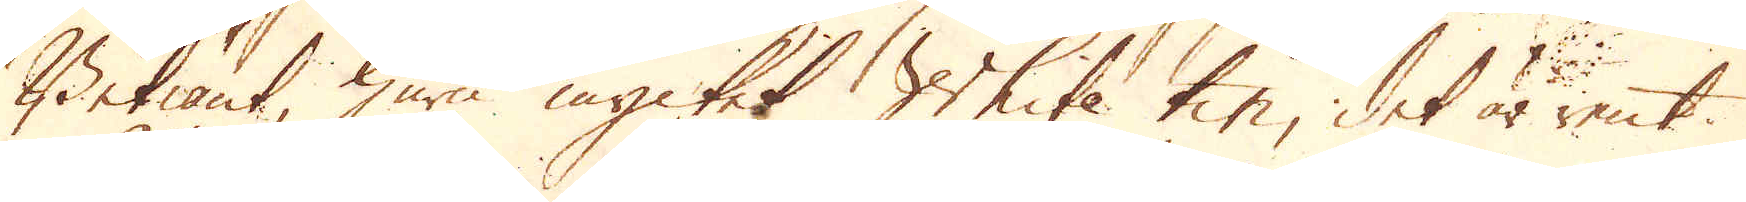Betiänt, huru mycket White tin, det är rent
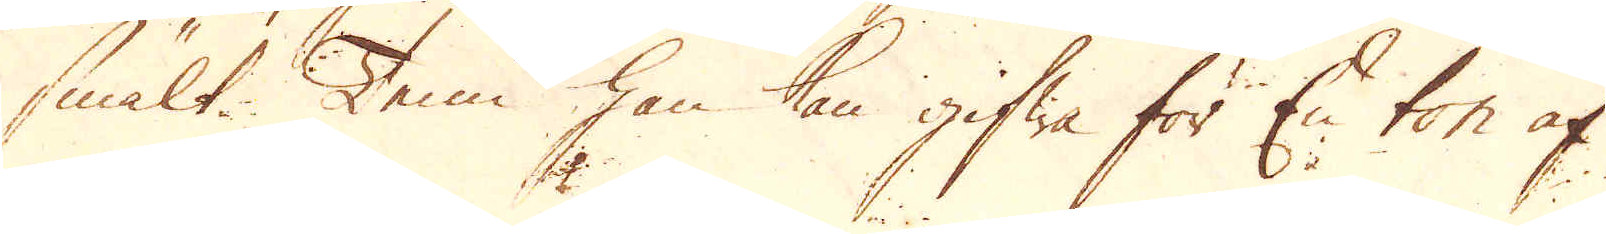smält Tenn han kan gifwa för En ton af
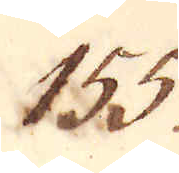155.
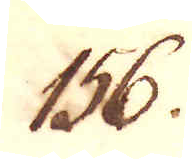156.
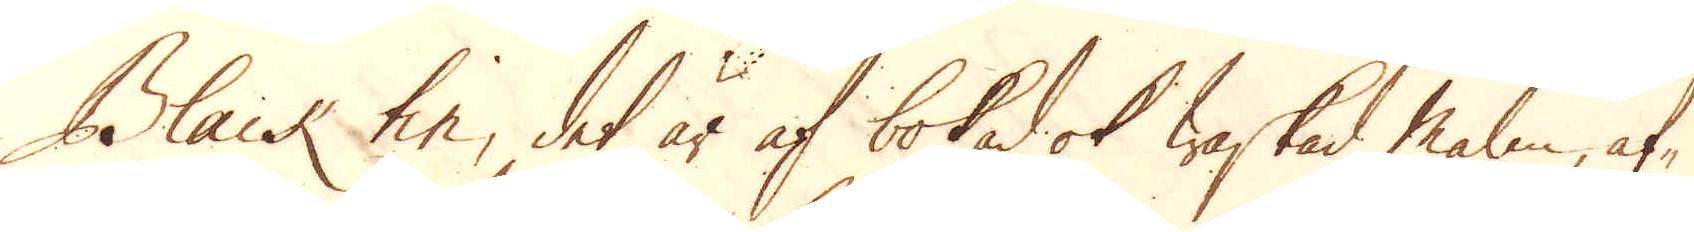Black tin, det är af bokad ok waskad malm, af-
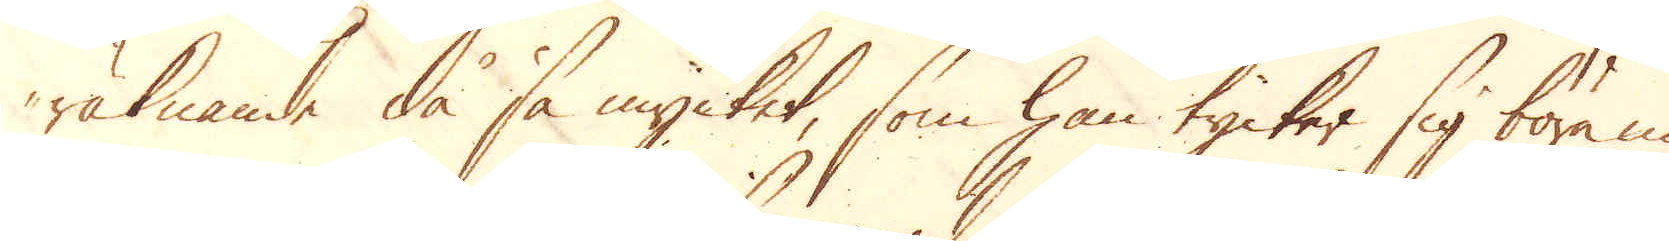räknande då så mycket, som han tycker sig böra nu
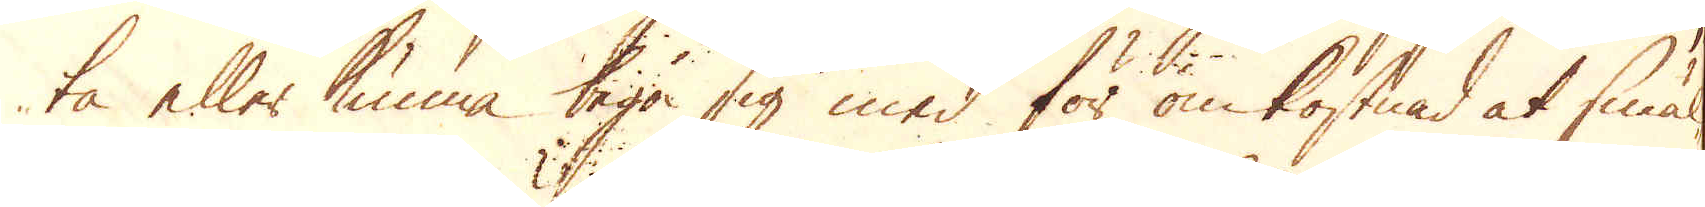ta eller kunna taga sig med för omkostnad at smäl-
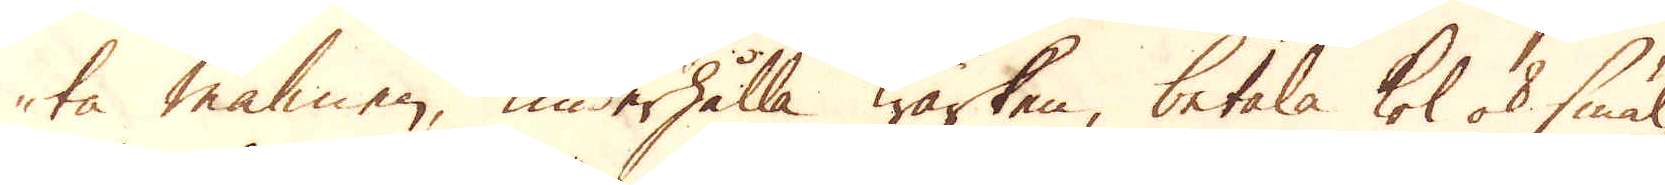ta malmen, underhålla Wärken, betala kol ok smäl-
